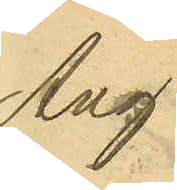Ang.
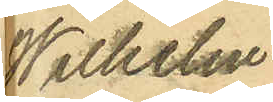Wilhelm
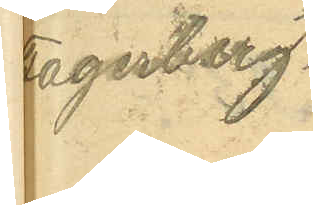Fagerberg.
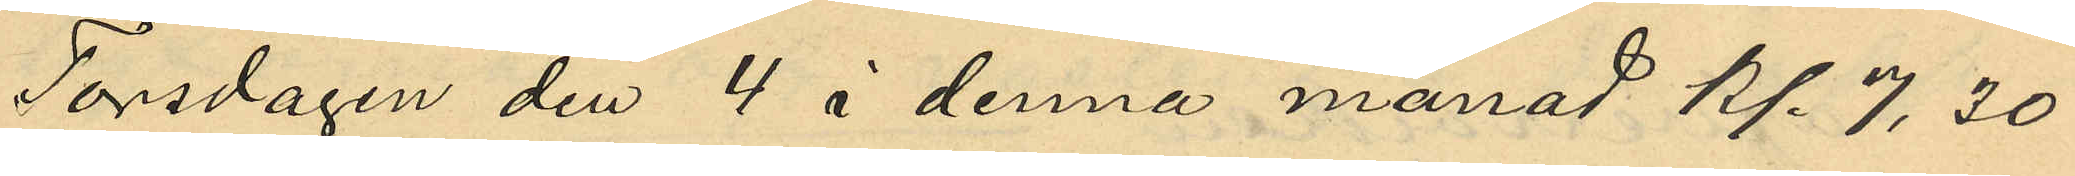Torsdagen den 4 i denna månad kl. 7,30
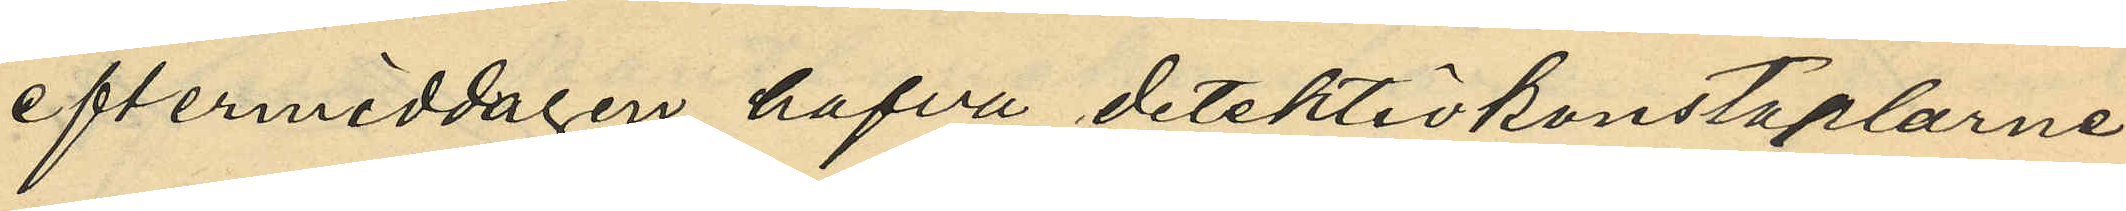eftermiddagen hafva detektivkonstaplarne
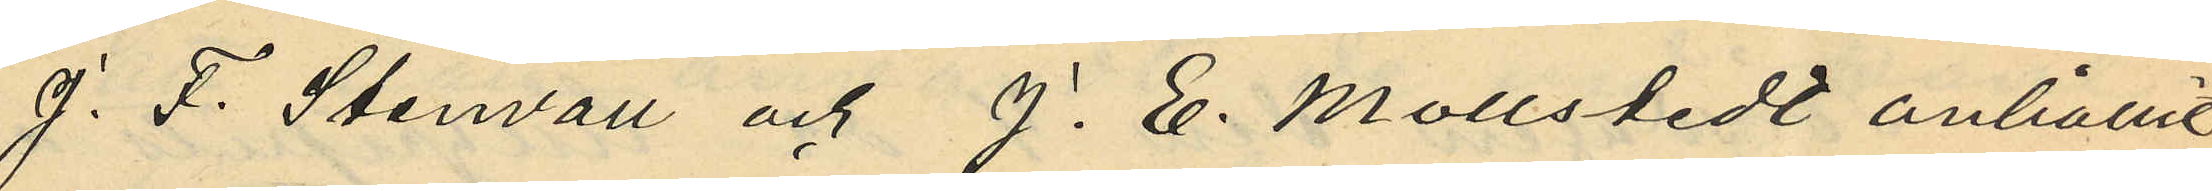J. F. Stenvall och J. E. Mollstedt anhållit
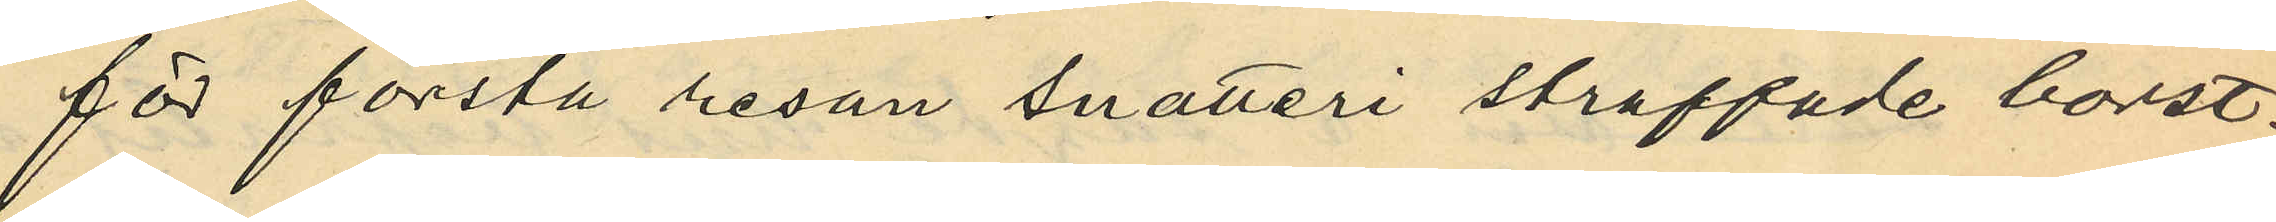för första resan snatteri straffade borst¬
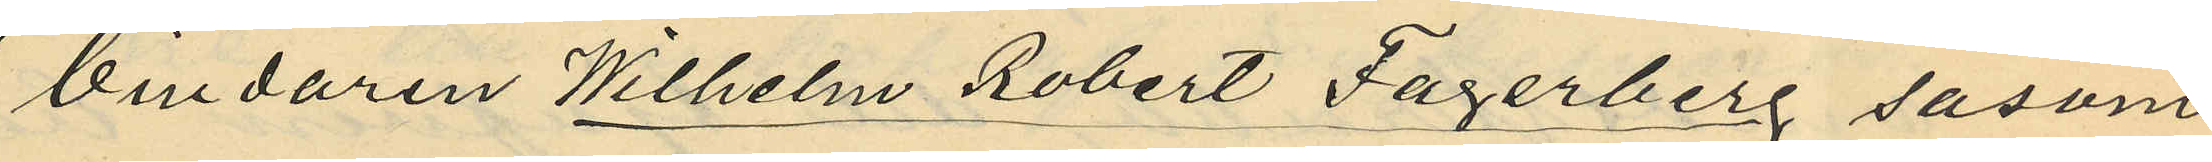bindaren Wilhelm Robert Fagerberg såsom
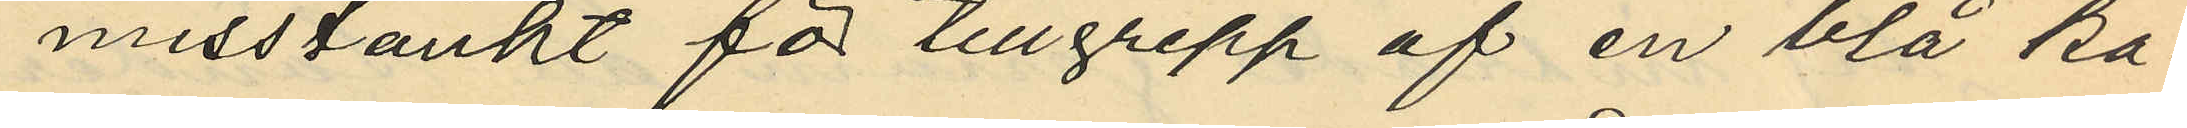misstänkt för tillgrepp af en blå ka¬
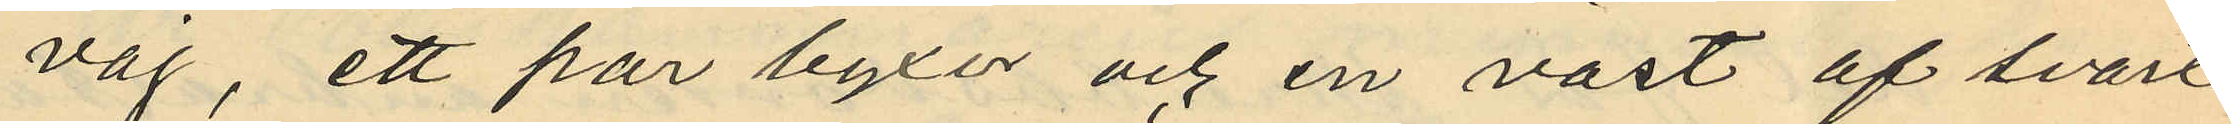vaj, ett par byxor och en väst af svart
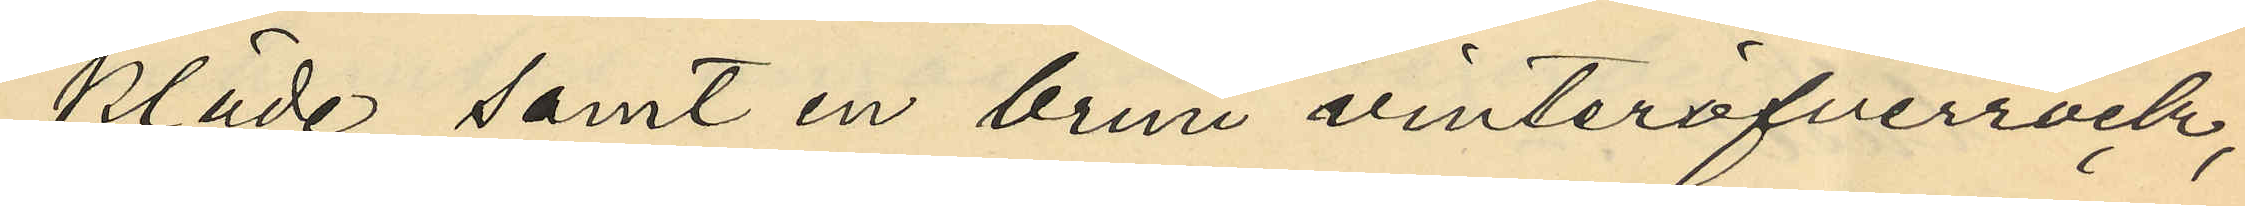kläde samt en brun vinteröfverrock,
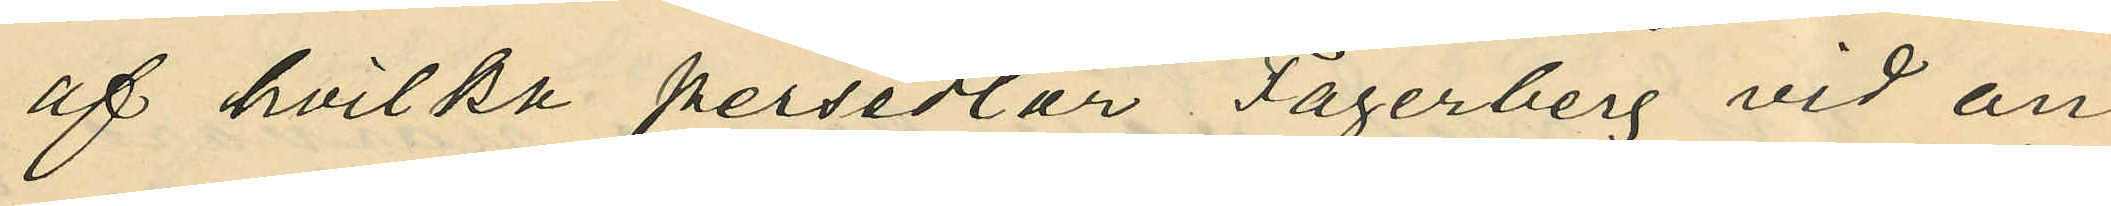af hvilka persedlar Fagerberg vid an¬
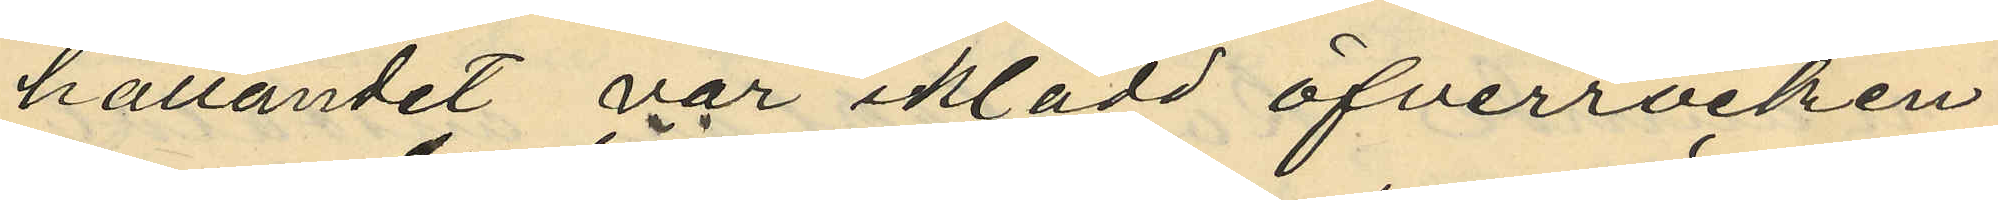hållandet var iklädd öfverrocken
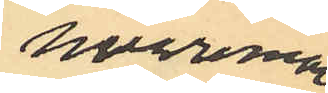hvaremot
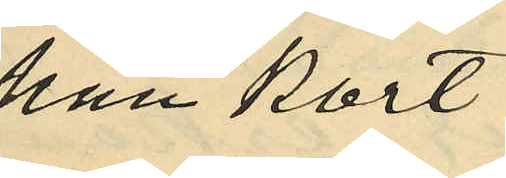han kort
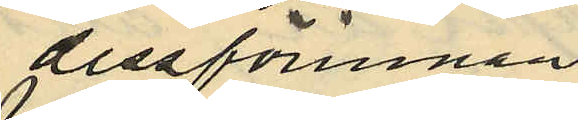dessförinnan
